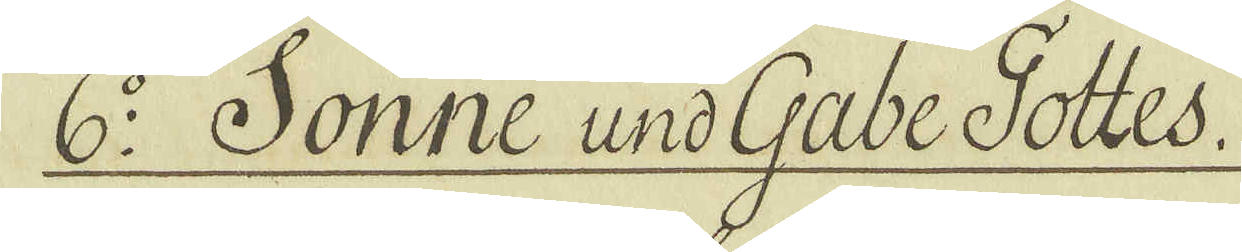6:o Sonne und Gabe Gottes.
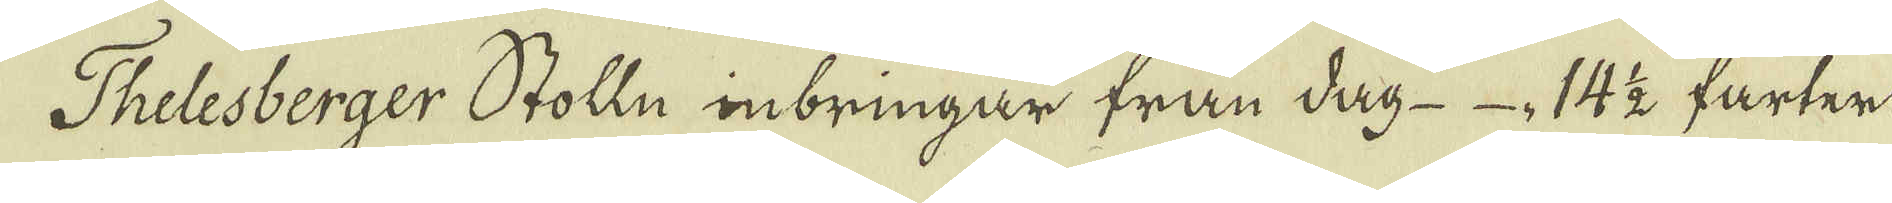Thelesberger Stolln inbringar från dag 14 1/2 farter
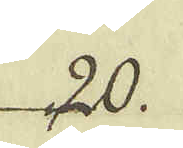20.
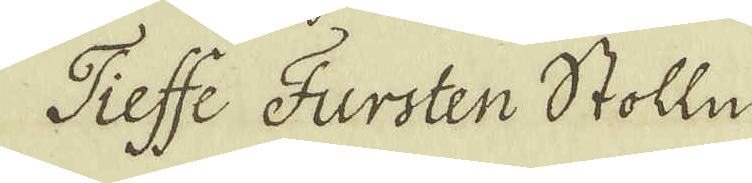Tieffe Fursten Stolln
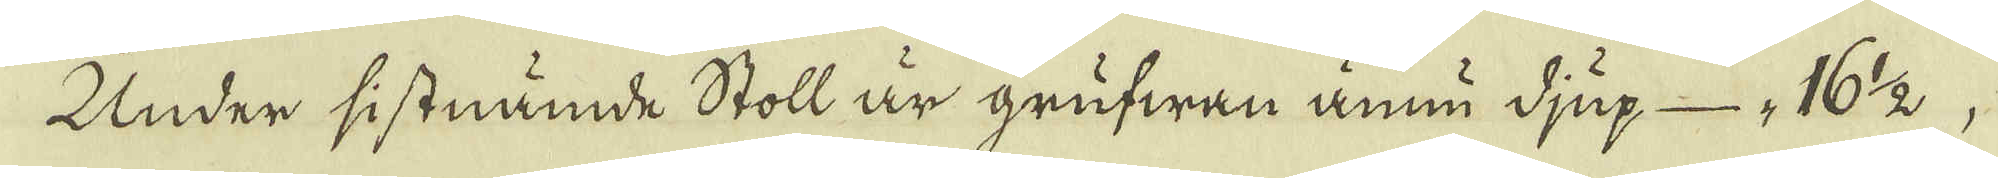Under sistnämde Stoll är grufwan ännu djup 16 1/2
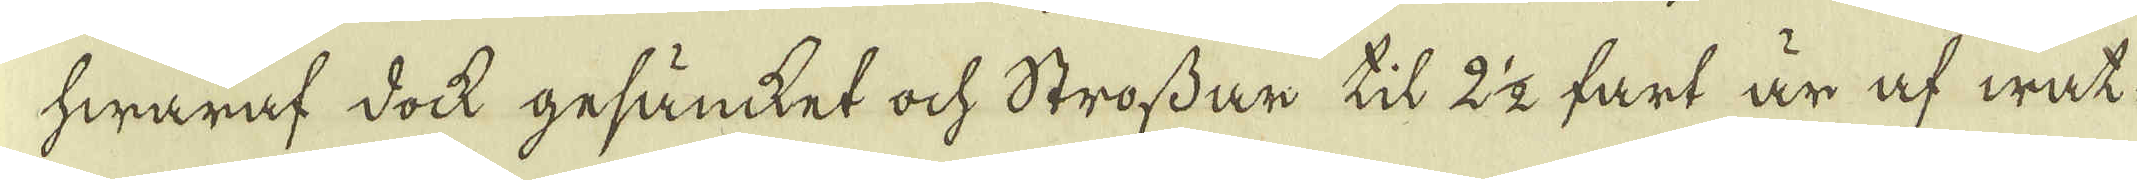hwaraf dock gesänket och Strossar til 2 1/2 fart är af wat-
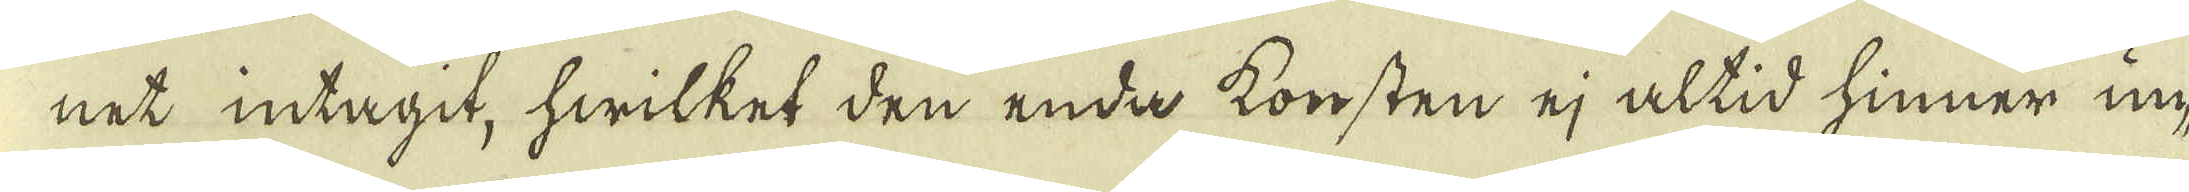net intagit, hwilket den enda konsten ej altid hinner un-
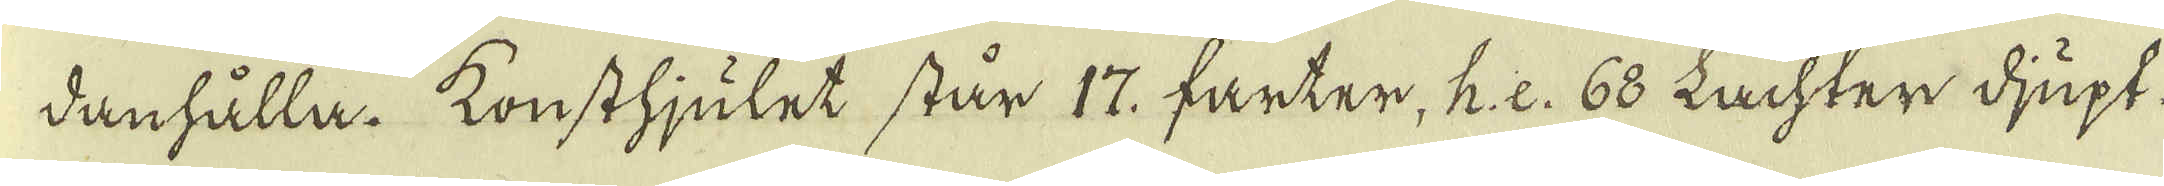danhålla. Konsthjulet står 17. farter, h:e. 68 Lachter djupt,
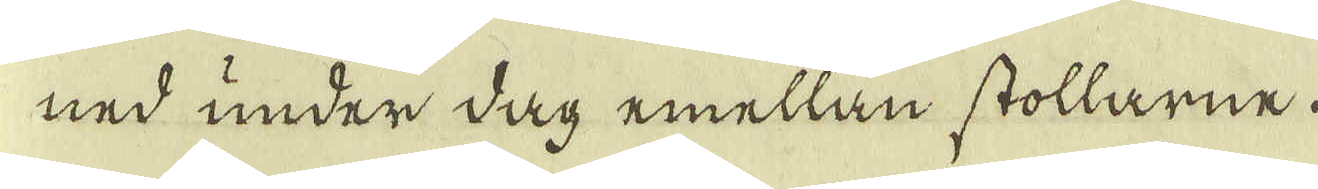ned under dag emellan stollarne.
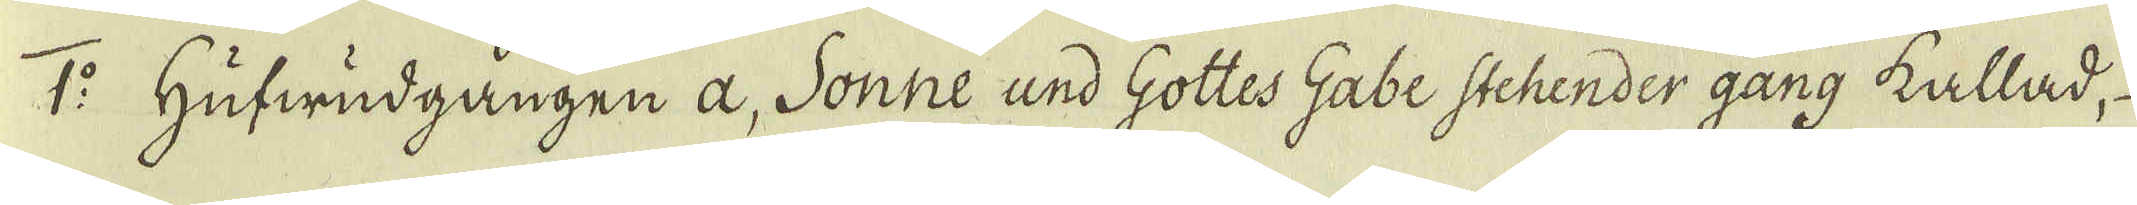1:o Hufwudgången a, Sonne und Gottes Gabe Stehender gang kallad,
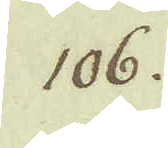106.
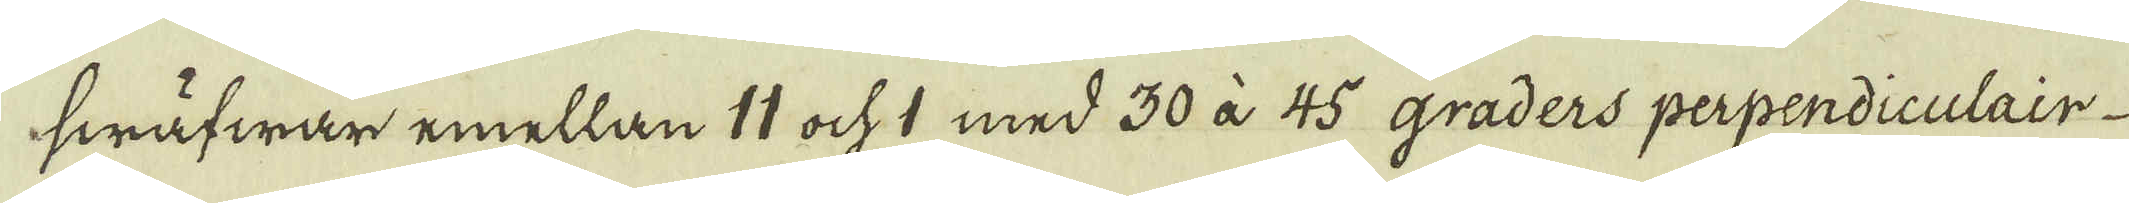swäfwar emellan 11 ock 1 med 30 à 45 graders perpendiculair
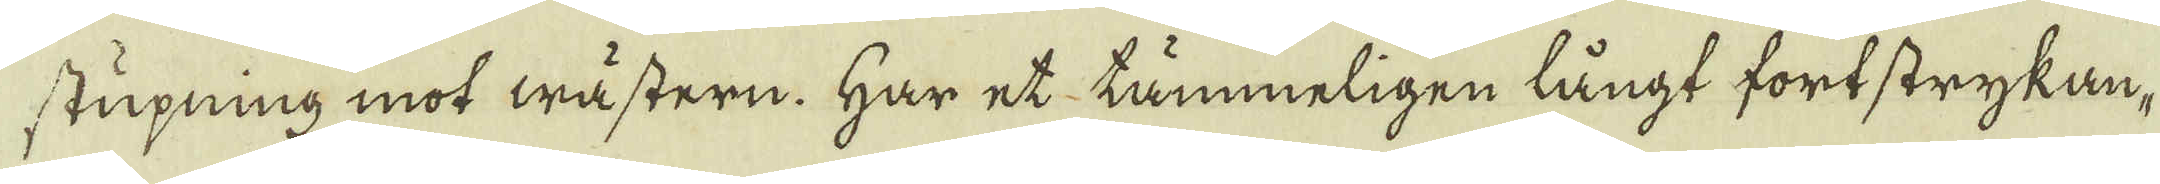stupning mot wästern. Här et tämmeligen långt fortstrykan,
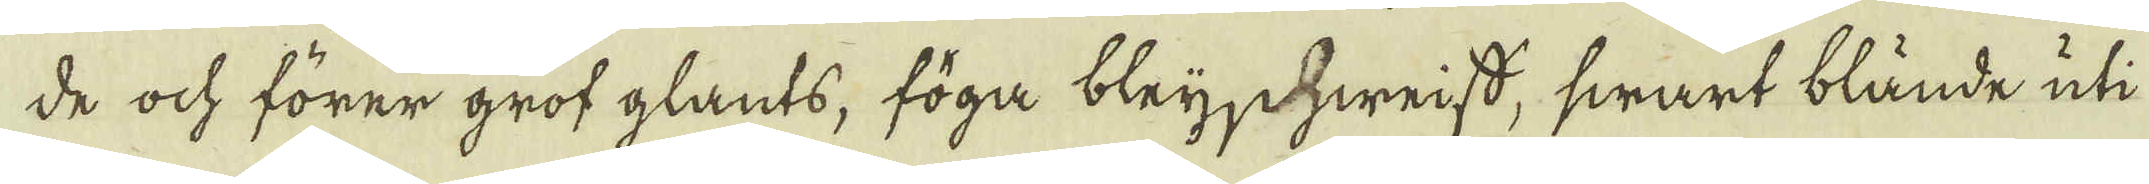de ock förer grof glants, föga bleijchweiss, swart blände uti
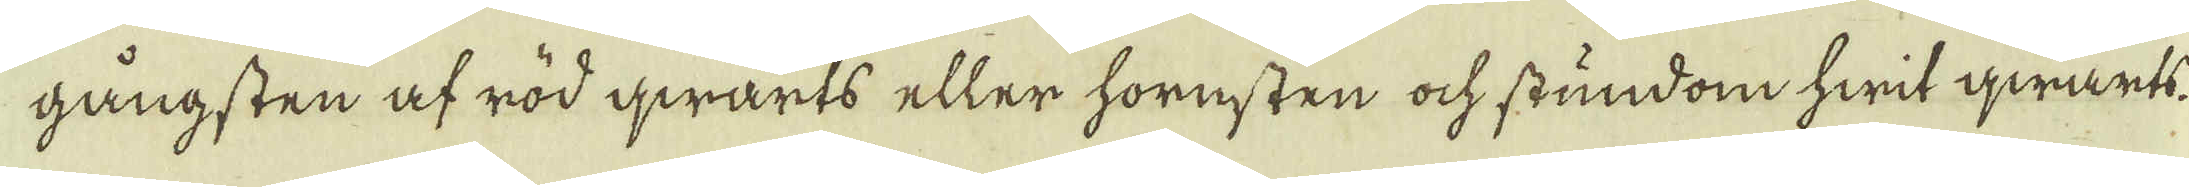gångsten af röd qwarts eller hornsten ock stundom hwit qwarts.
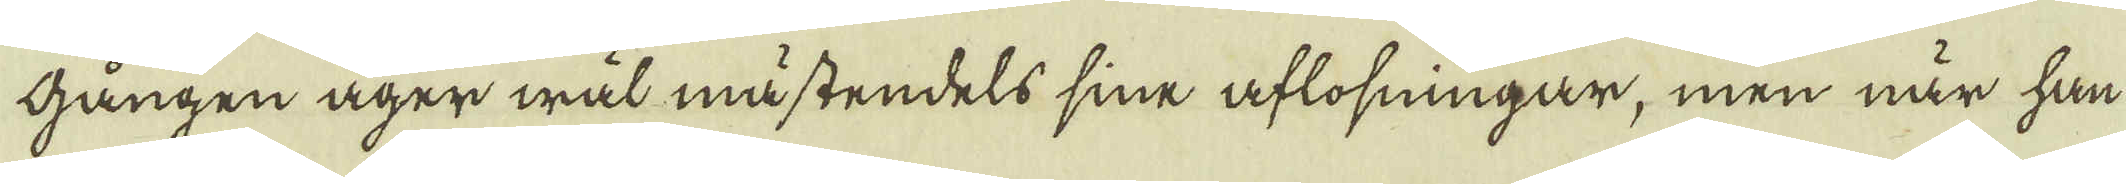gången äger wäl mästendels sine aflosningar, men när han
